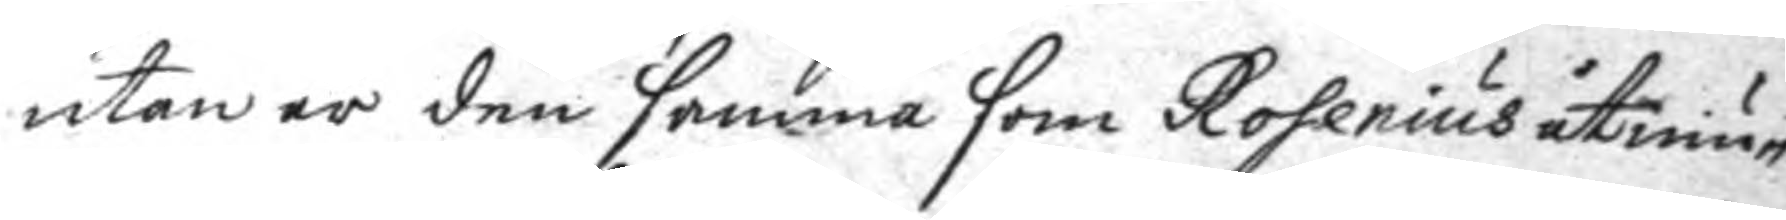utan är den samma som Rosenius åtniu¬
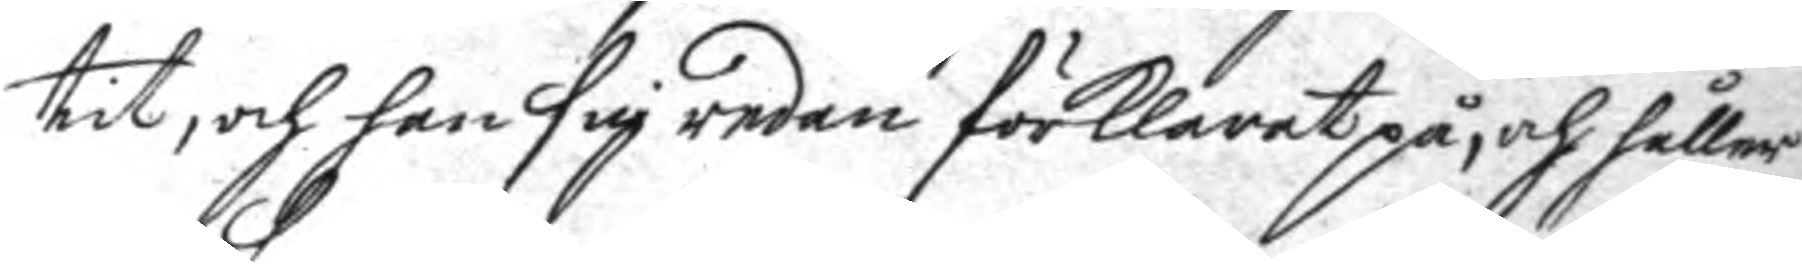tit, och han sig redan förklarat på, och håller
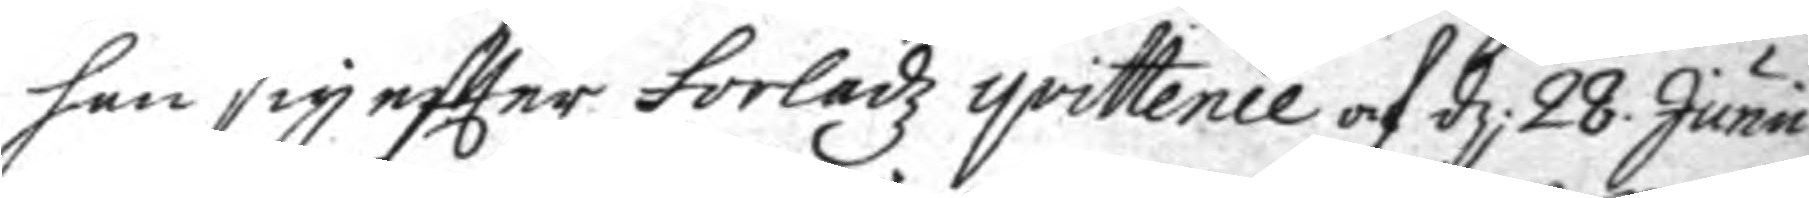han sig eftter Forledz qvittence af d. 28. Junii
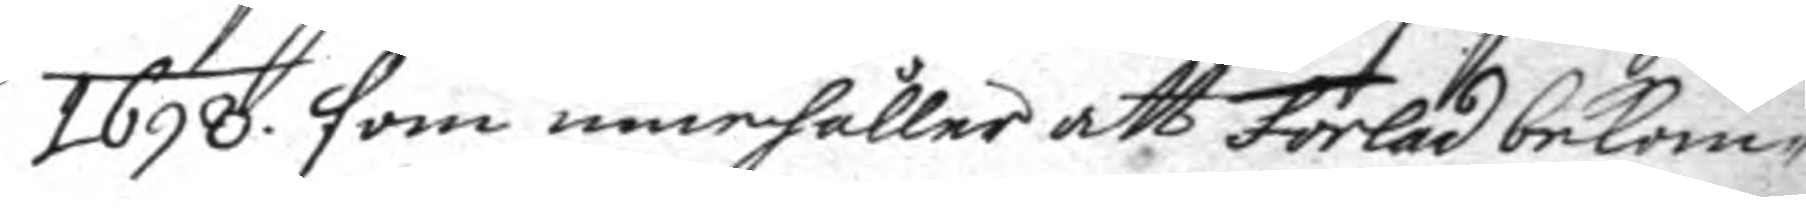1698. som innehåller att Forled bekom¬
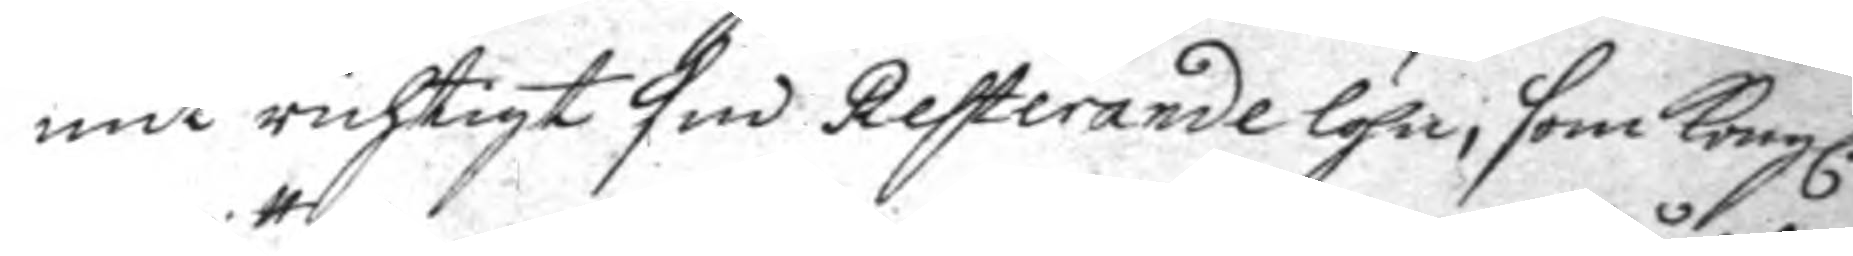mit richtigt sin Resterande löhn, som Kongl.
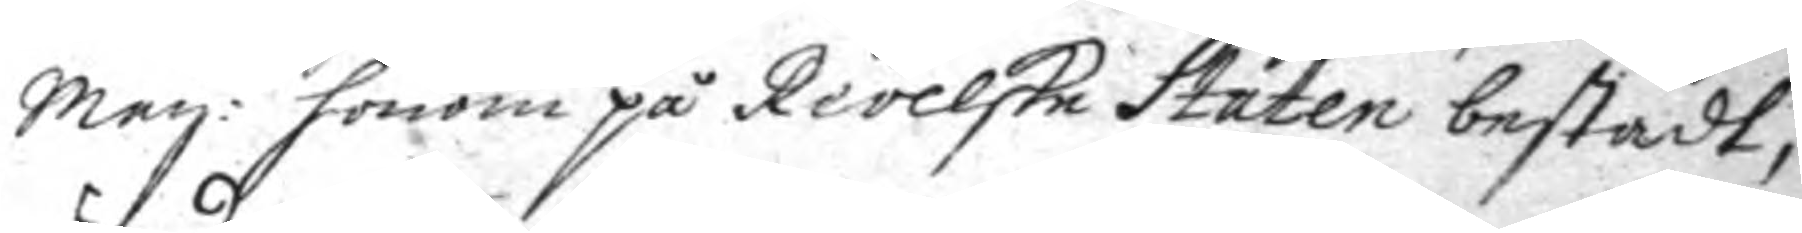May:tt honom på Revelske Staten bestådt,
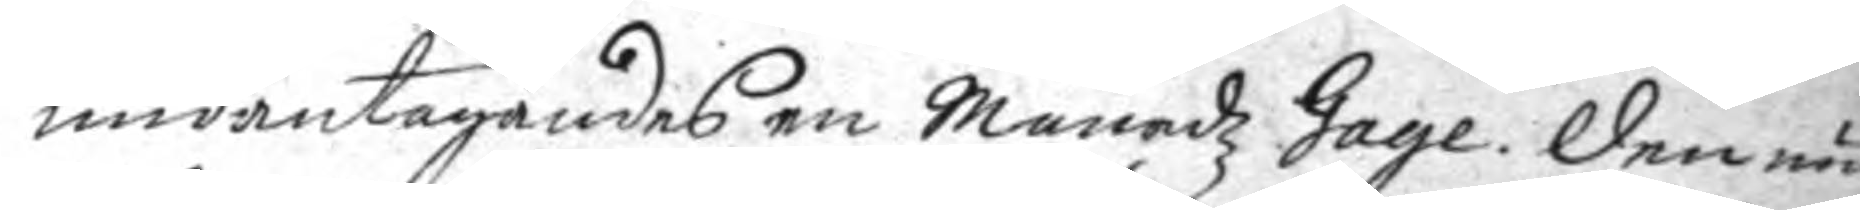undantagandes en MånadzGage. Den nu
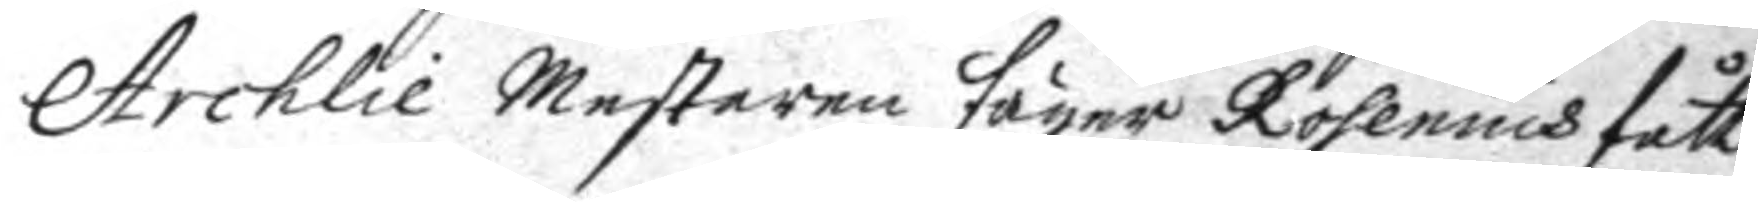Archlie Mesteren säger Rosenius fått
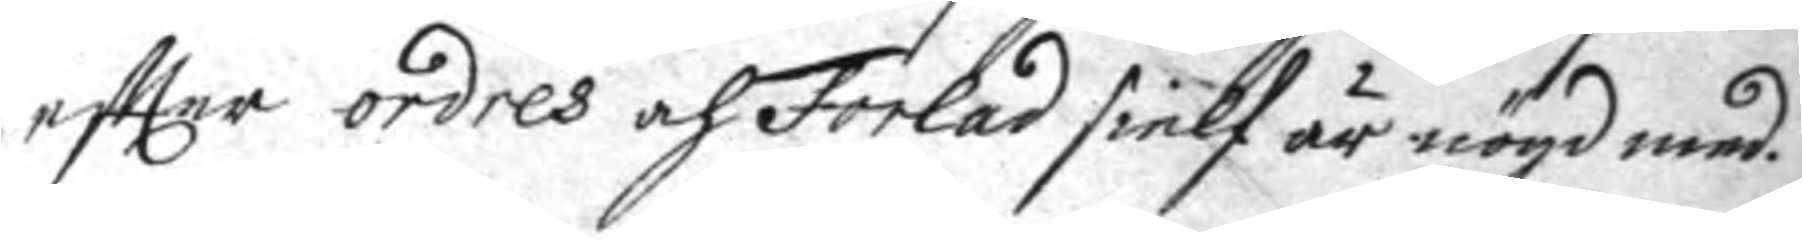eftter ordres och Forled sielf är nögd med.
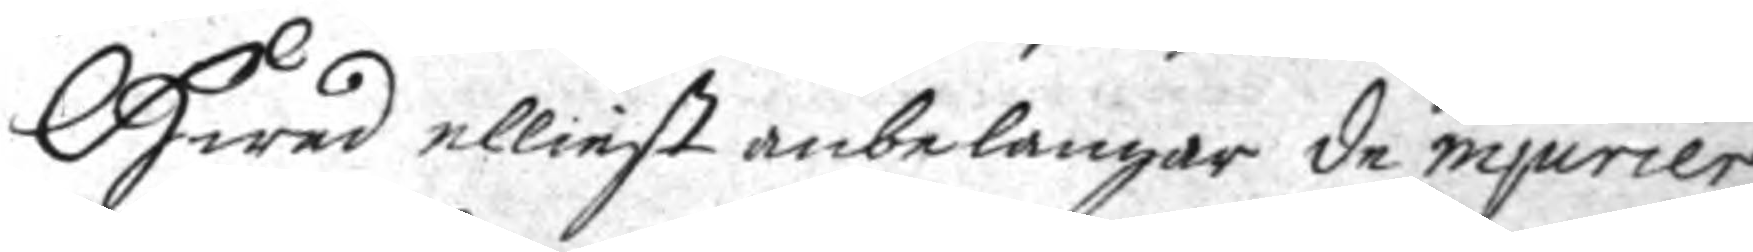Hwad elliest anbelangar de injurier
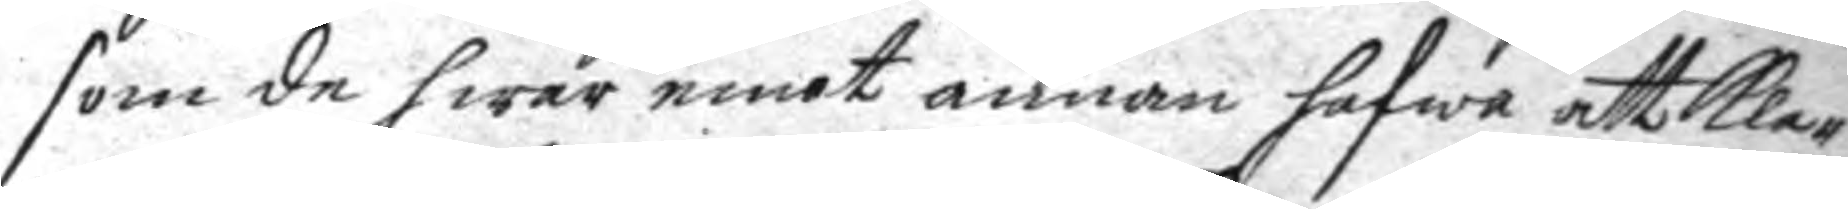som de swar emot annan hafwa att klag¬
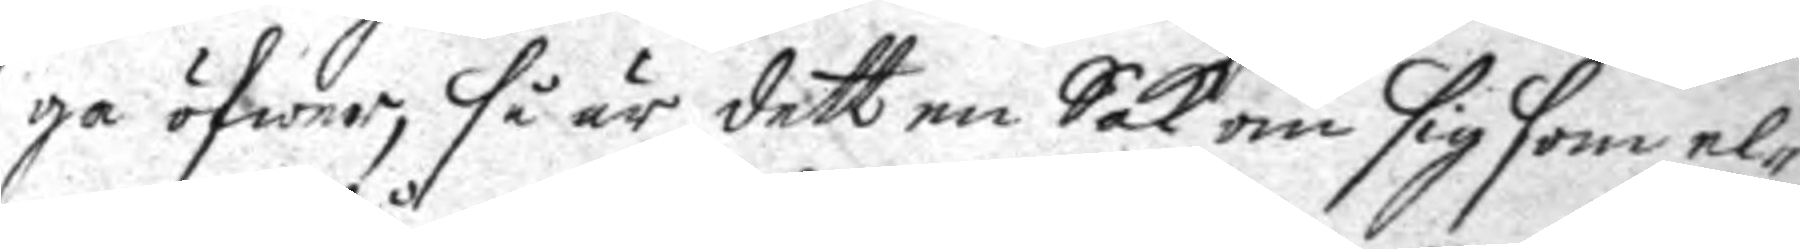ga öfwer, så är dett en Sak om sig som el¬
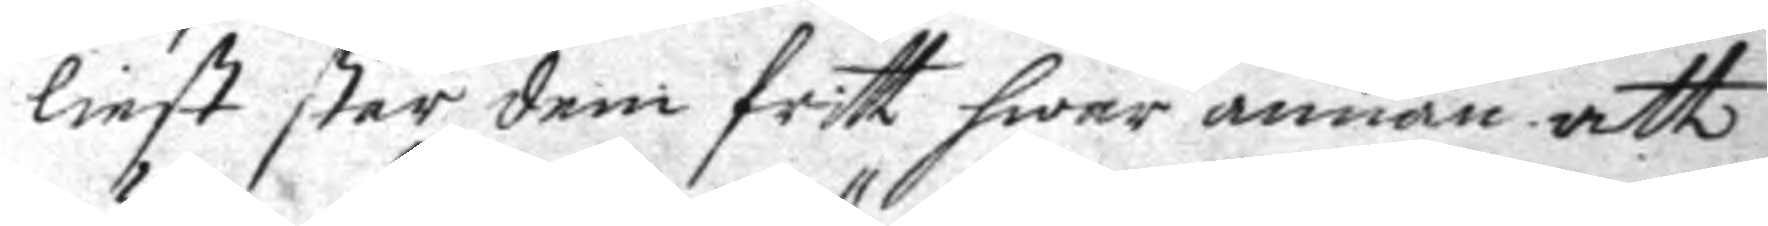liest står dem fritt hwar anan att
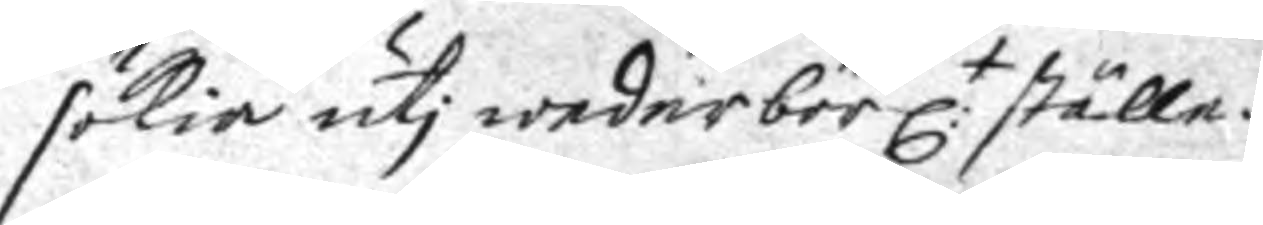sökia uti wederbörl:t ställa.
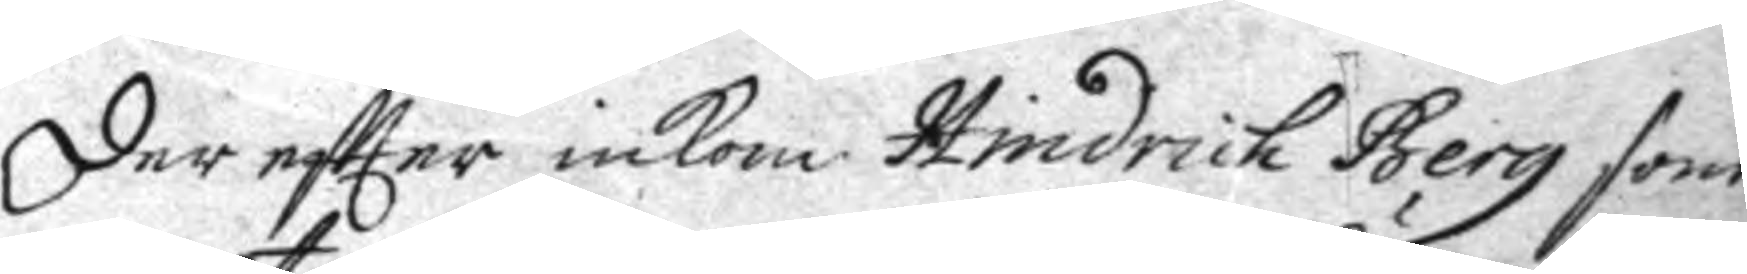Der eftter inkom Hindrich Berg som
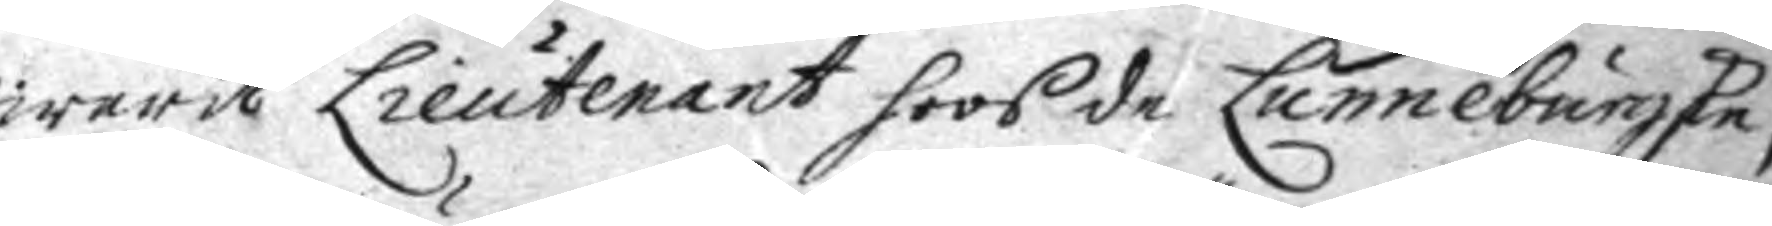warit Lieutenant hoos de Lunneburgske,
